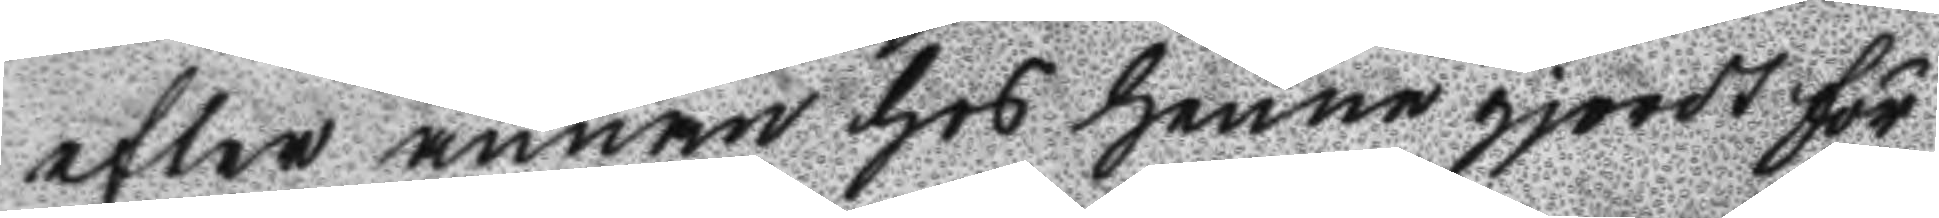efter annan hos henne gjordt för
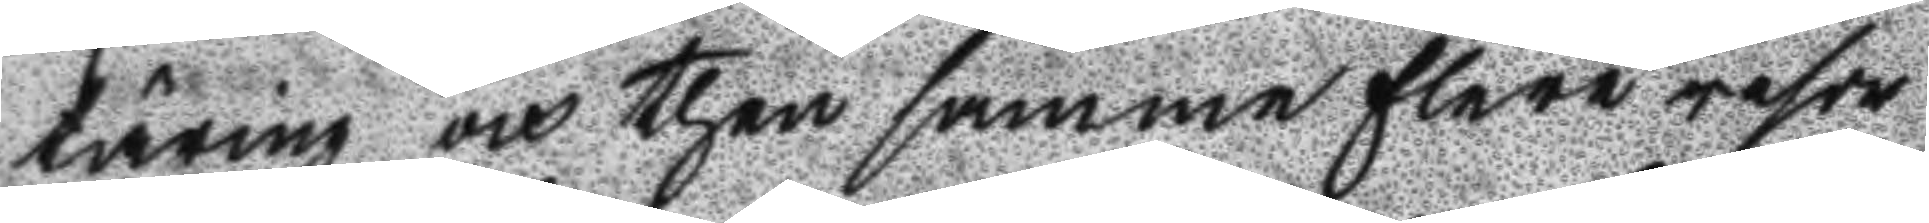täring och then samma flere resor
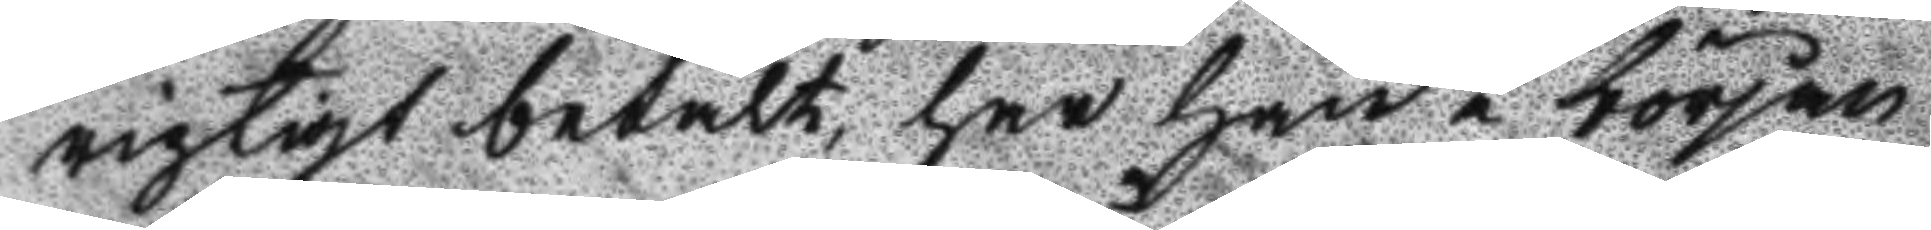rigtigt betalt, har han i början
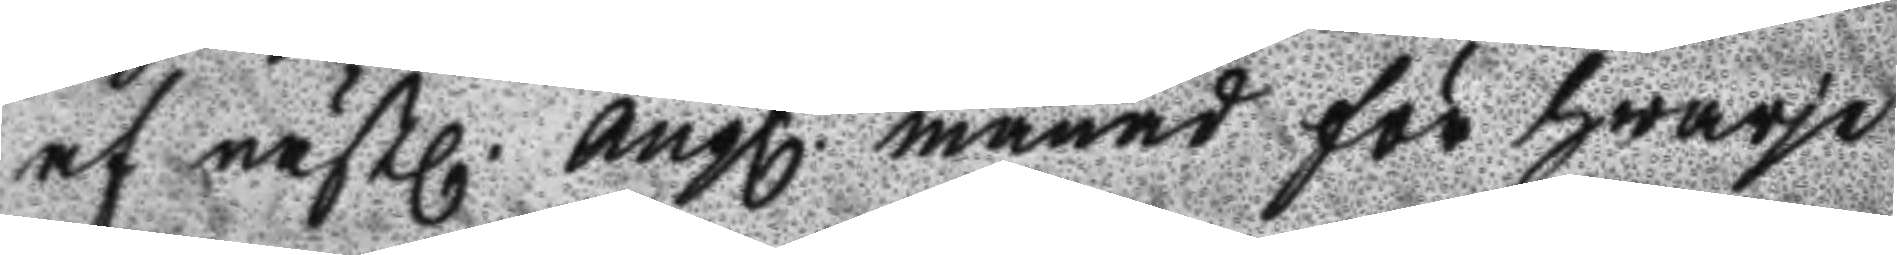af nästl. augl. månad för hwarje
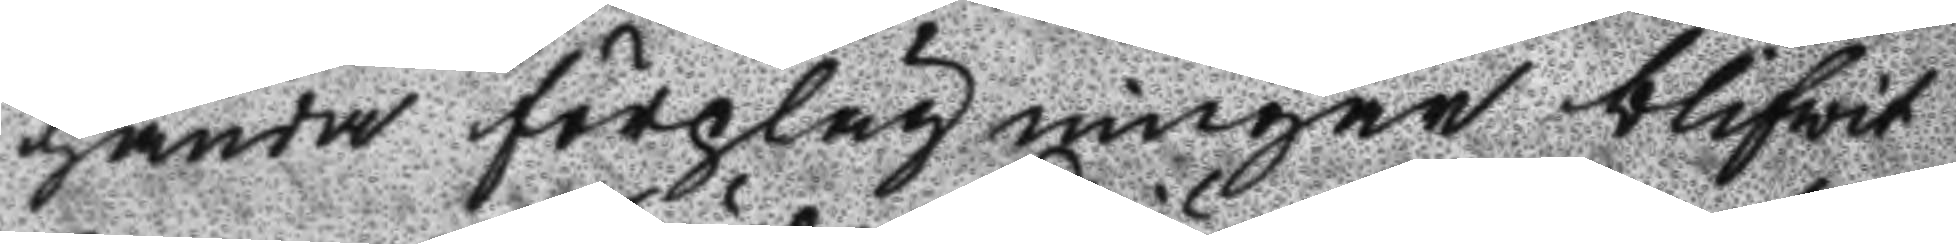handa förplägningar blifwit
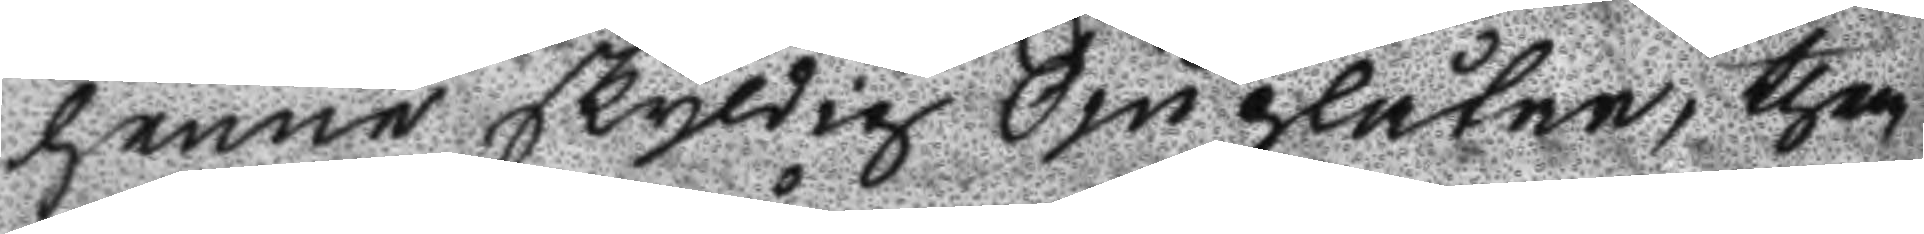henne skyldig Sju plåtar, them
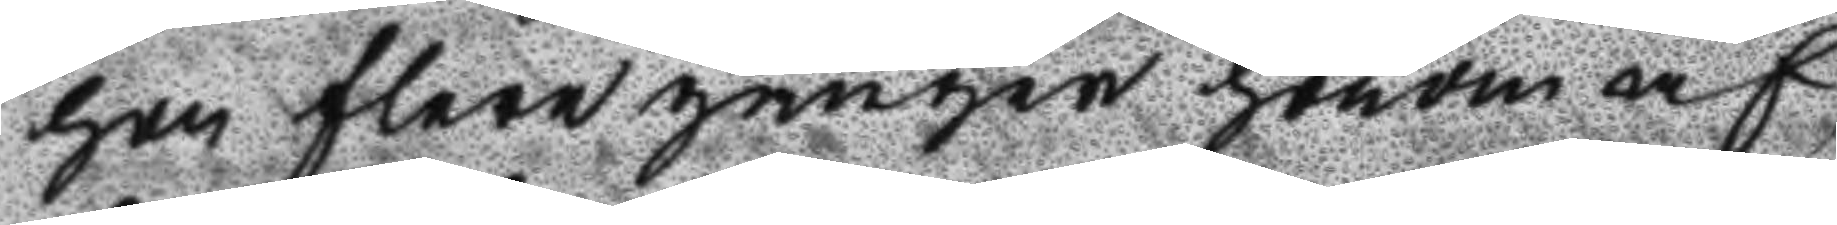hon flere gånger honom af
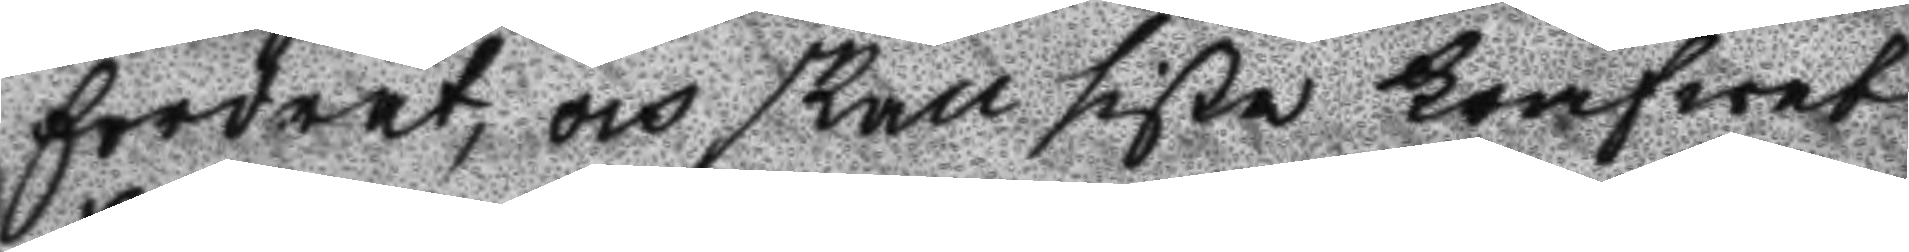fordrat, och skall sista krafwet
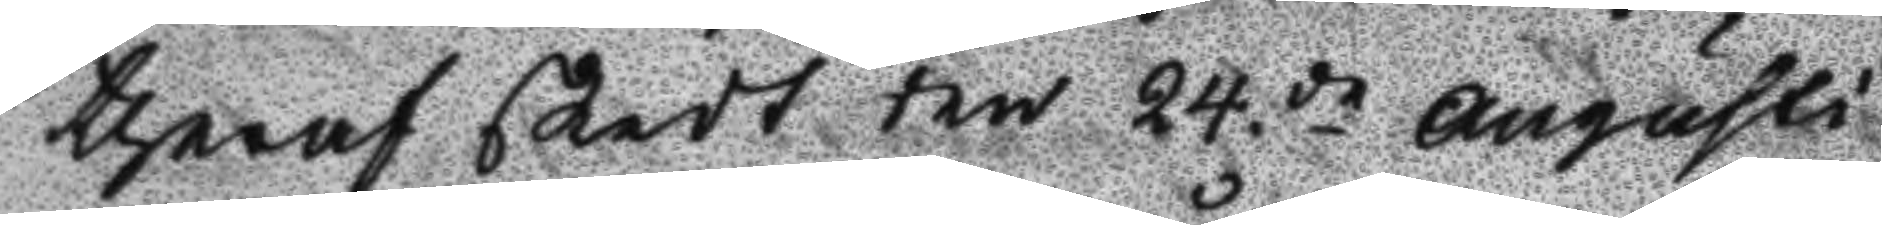theraf skedt den 24.de augusti
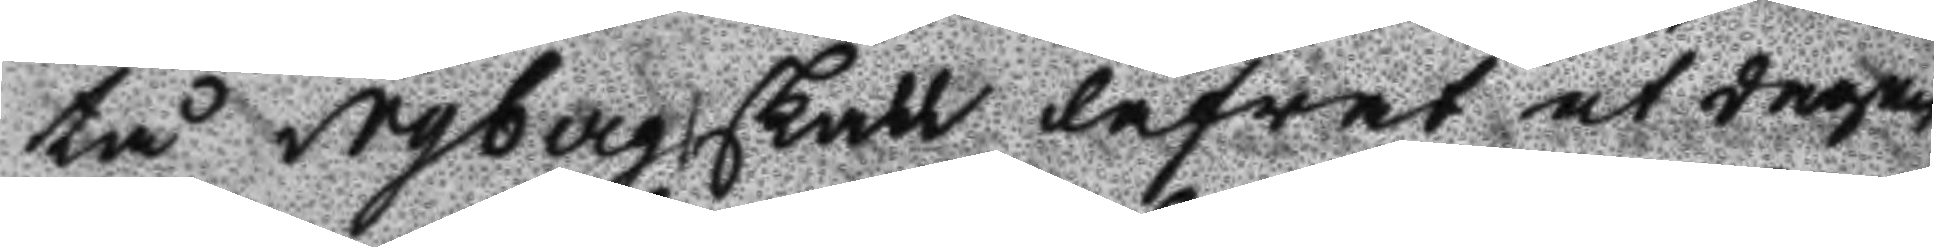tå Nyberg skall låfvat at dagen
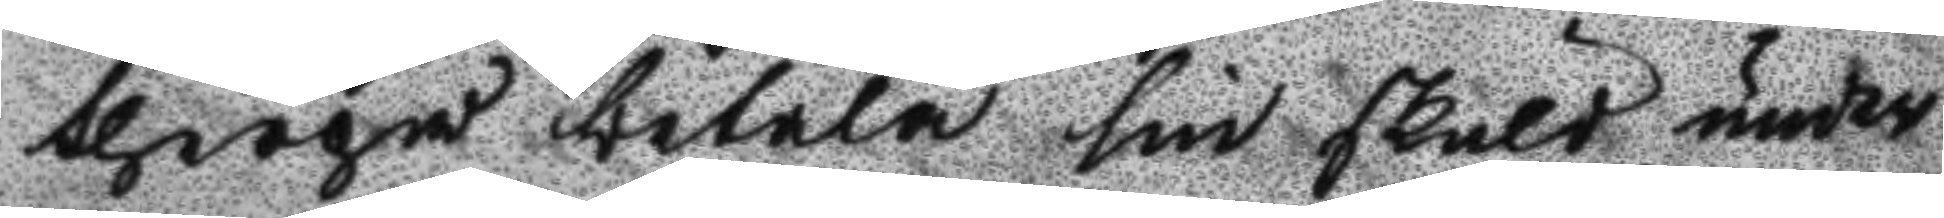therpå betala sin skuld, under
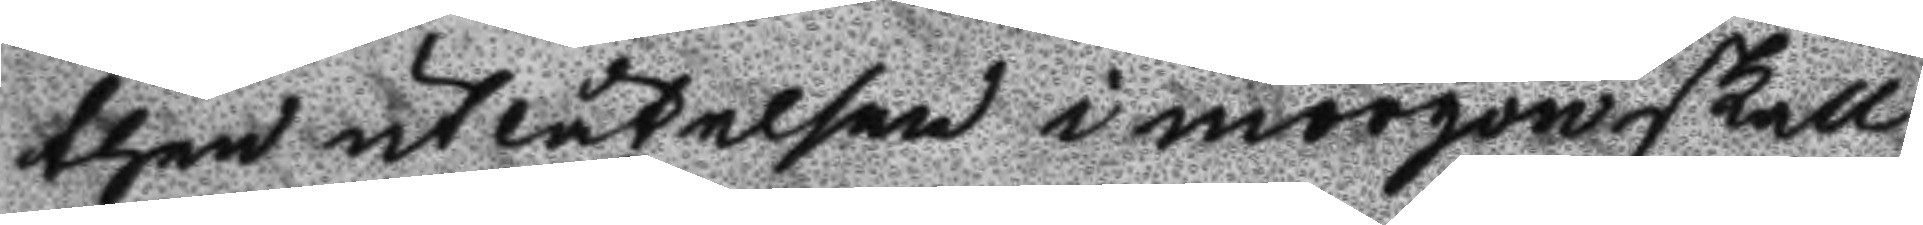then utlåtelsen i morgon skall
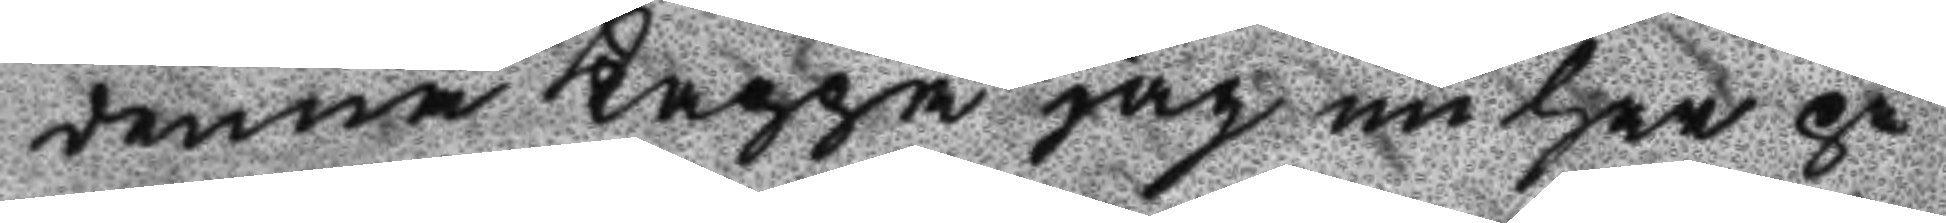denna Kappa jag nu har på
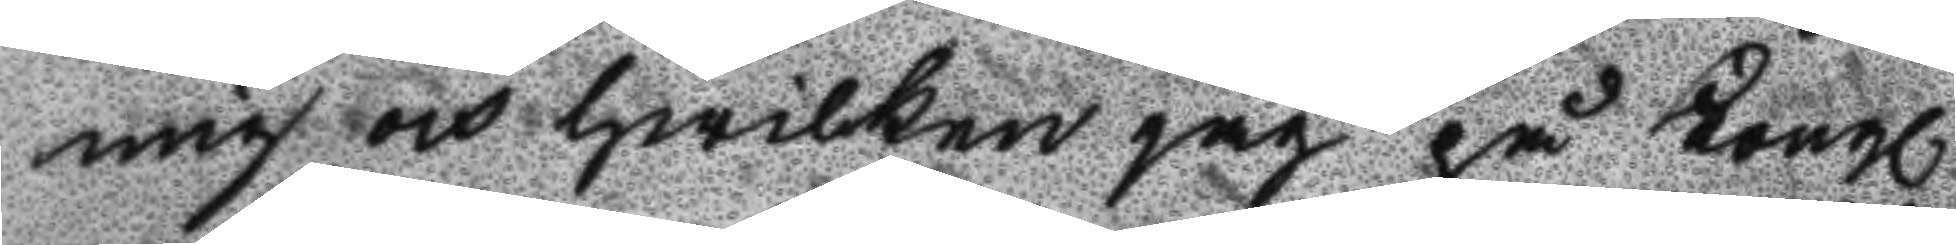mig och hwilken jag på Kongl
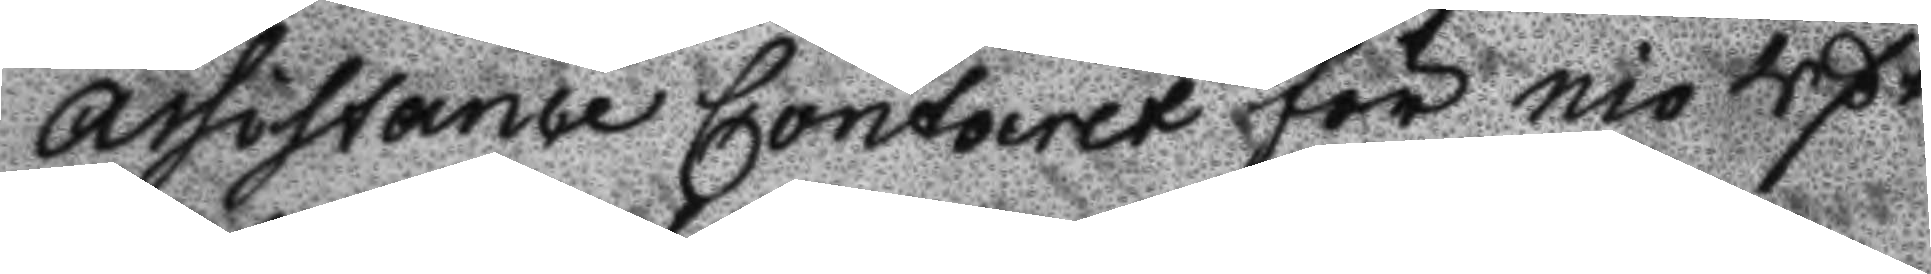assistance Contoiret för nio Rßr
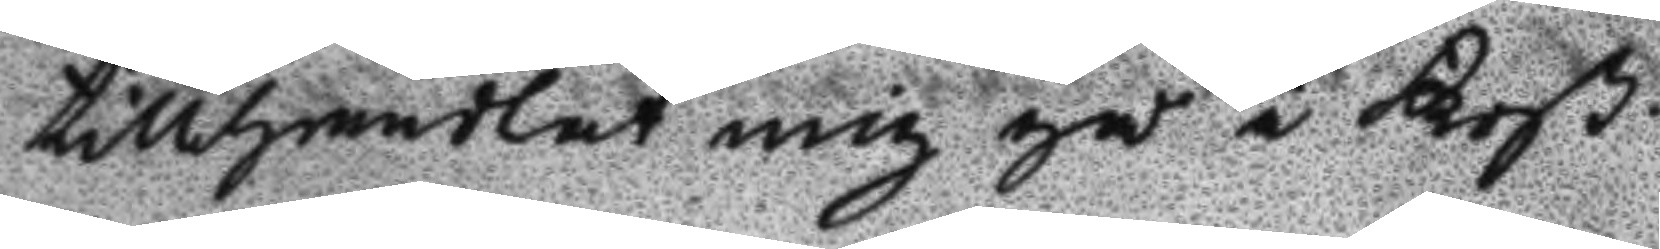tillhandlat mig gå sin Koß.
